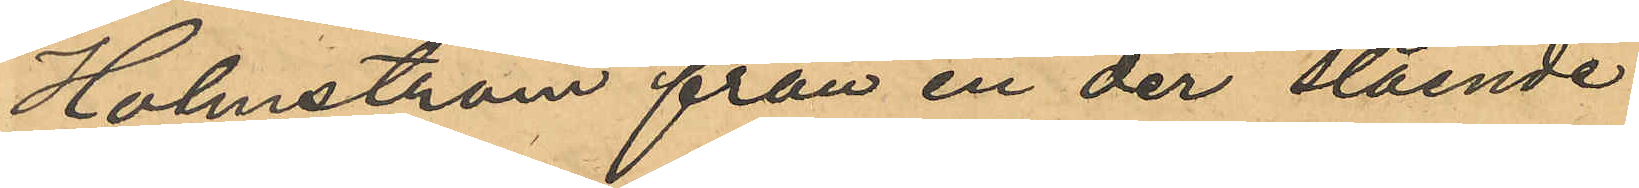Holmström från en der stående
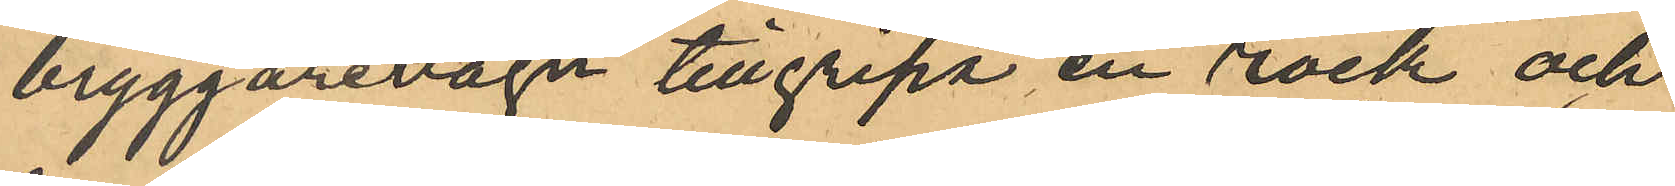bryggarevagn tillgripa en rock och
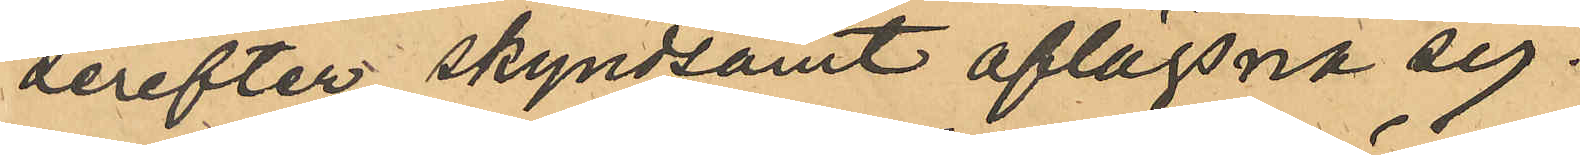derefter skyndsamt aflägsna sig.
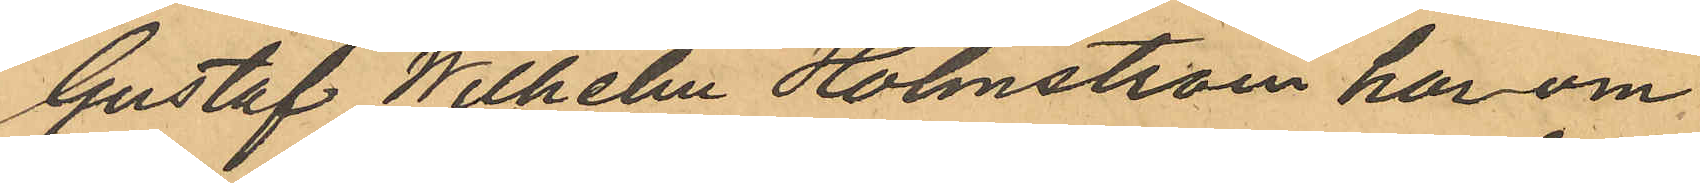Gustaf Wilhelm Holmström har om
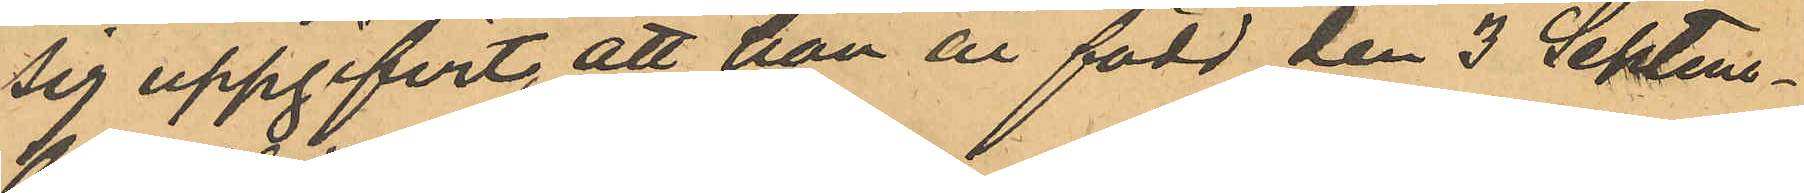sig uppgifvit, att han är född den 3 Septem¬
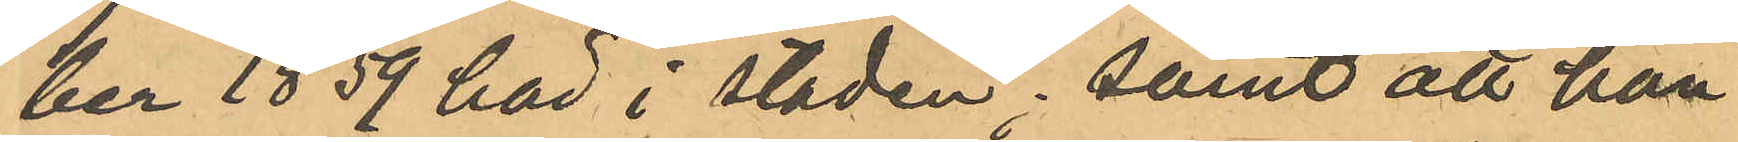ber 1859 här i staden; samt att han
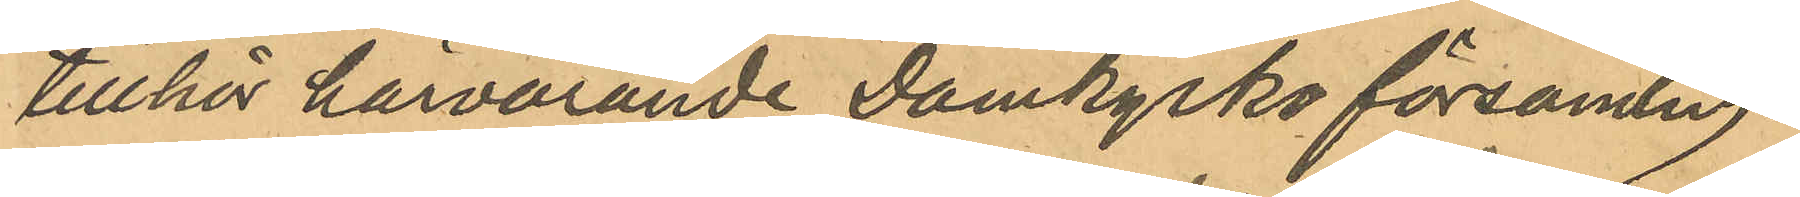tillhör härvarande Domkyrko församling.
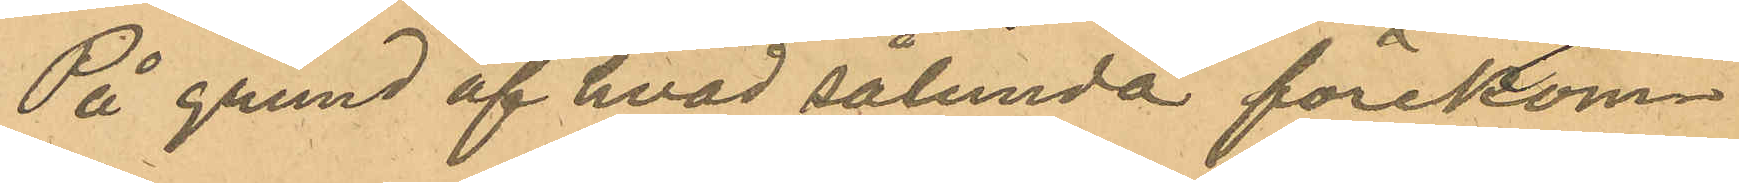På grund af hvad sålunda förekom¬
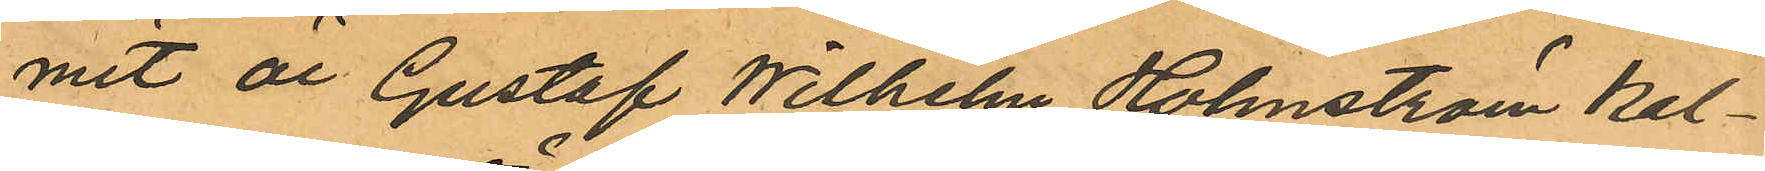mit är Gustaf Wilhelm Holmström kal¬
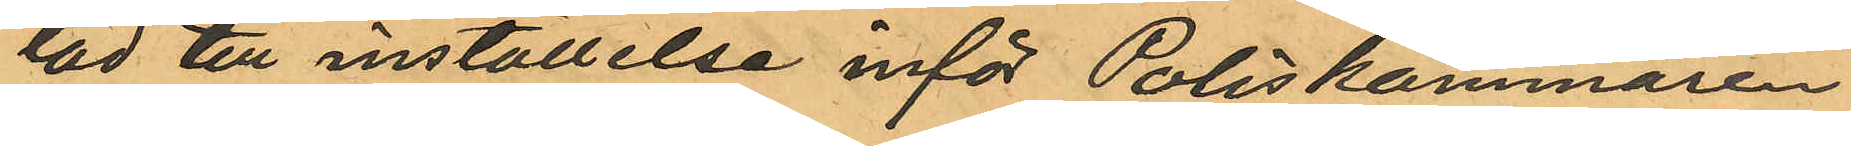lad till inställelse inför Poliskammaren
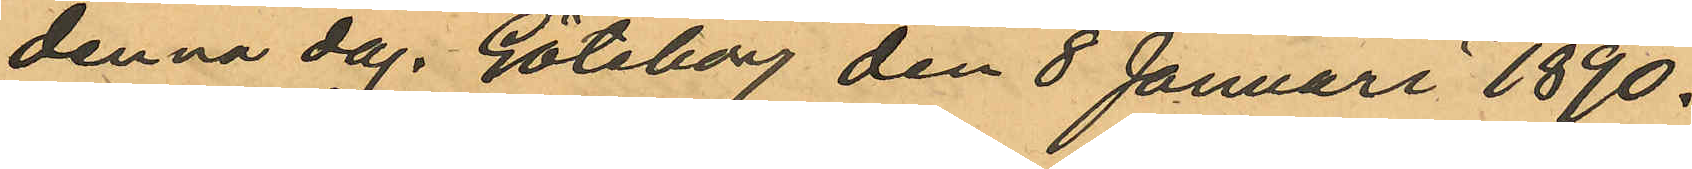denna dag. Göteborg den 8 Januari 1890.
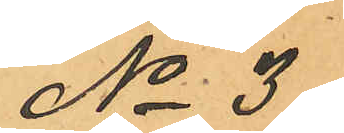No 3.
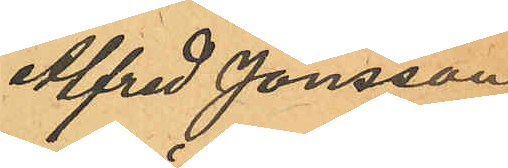Alfred Jonsson
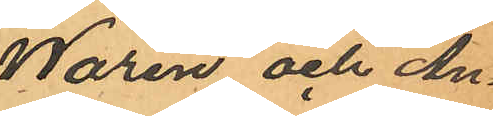Warén och An¬
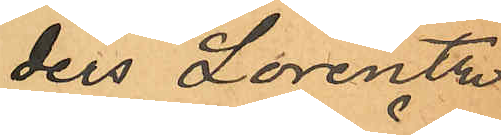ders Lorentz
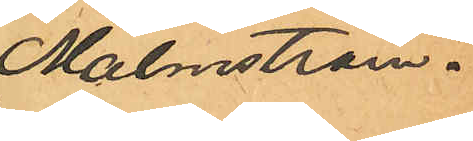Malmström.
